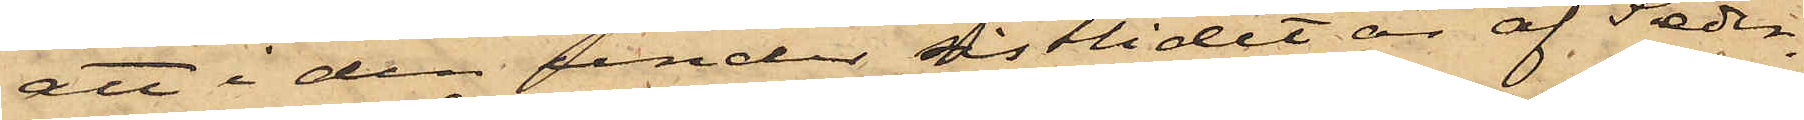att i den under sistlidet år af Seder¬
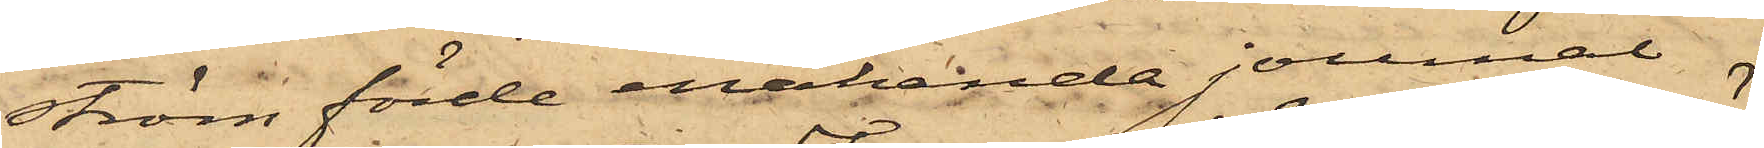ström förde enahanda journal
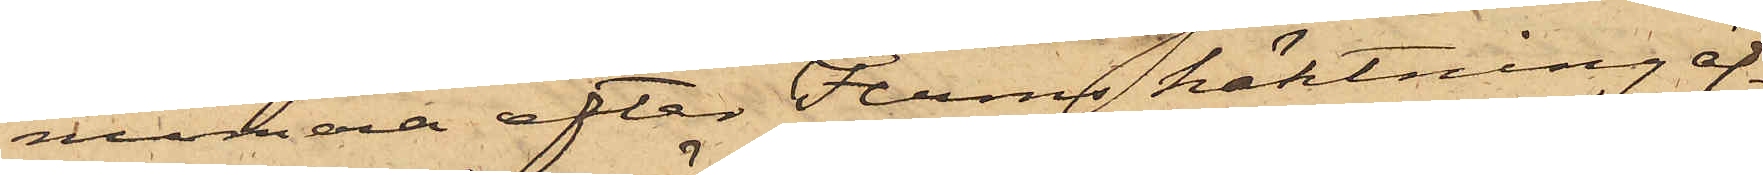numera efter Ferms häktning äf¬
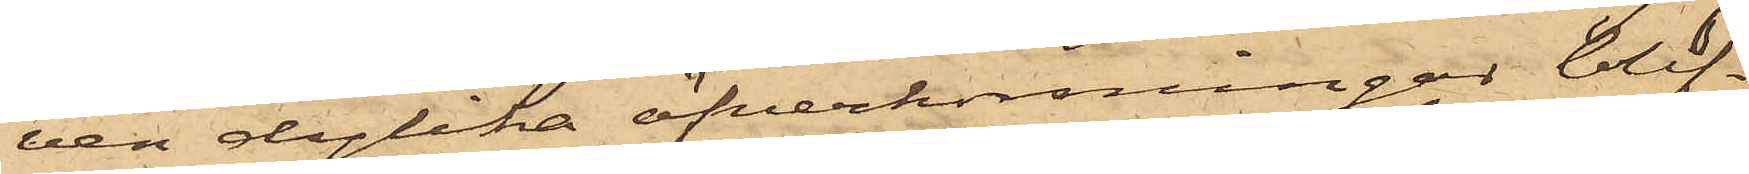ven dylika öfverkorsningar blif¬
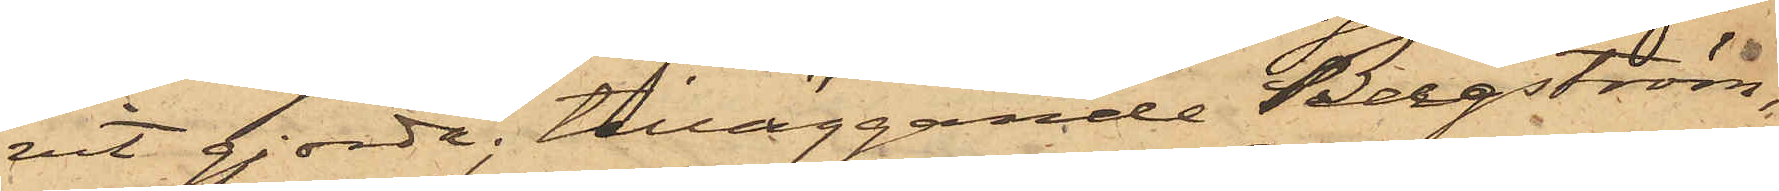vit gjorda; tilläggande Sederström,
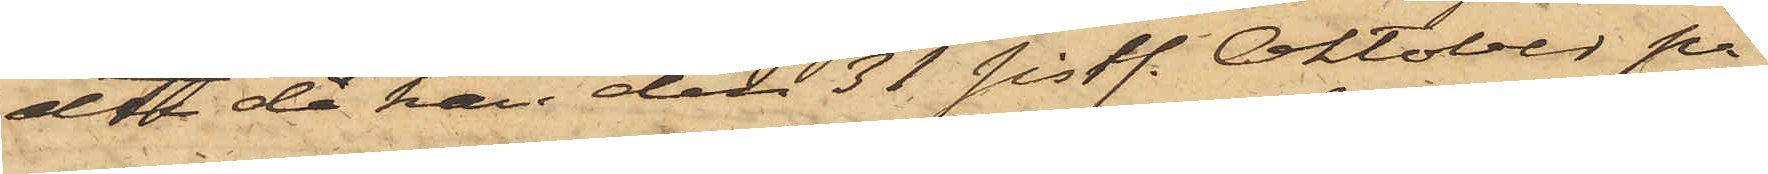att då han den 31 sistl. Oktober på
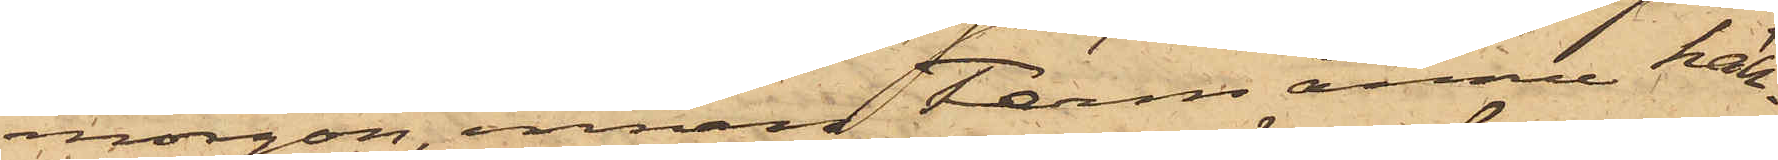morgon, innan Ferm ännu häk¬
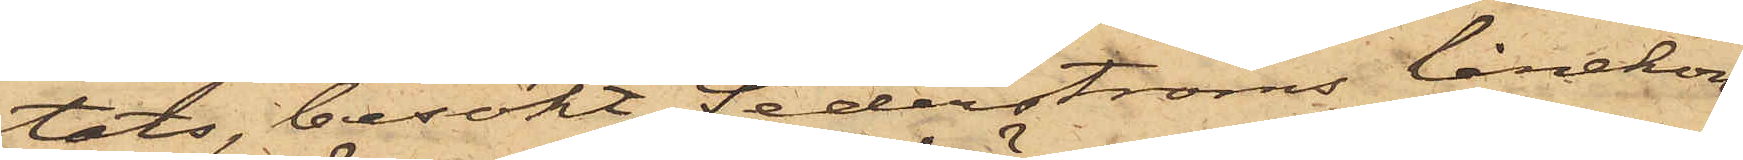tats, besökt Sederströms lånekon¬
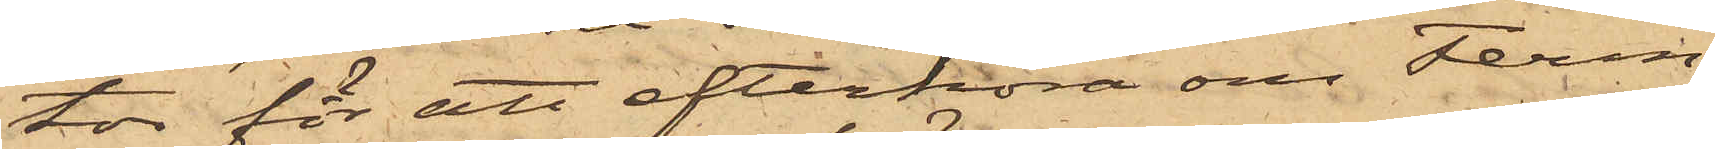tor för att efterföra om Ferm
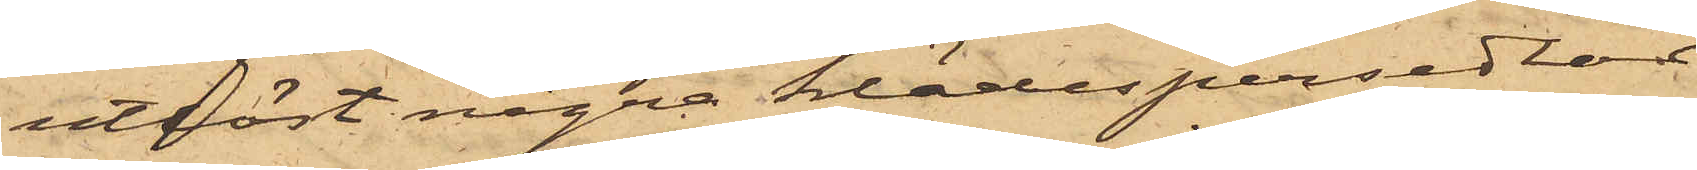utlöst några klädespersedlar
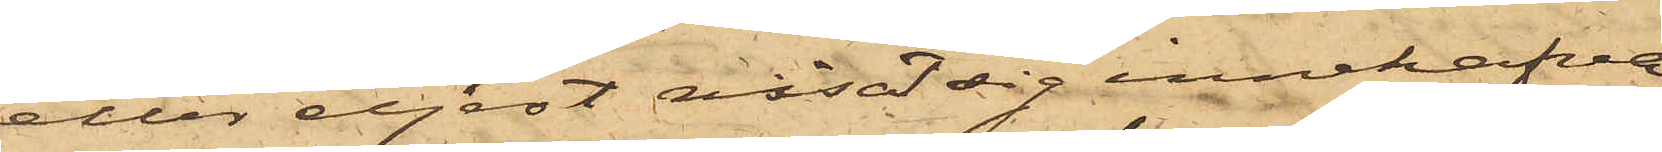eller eljest visat sig innehafva
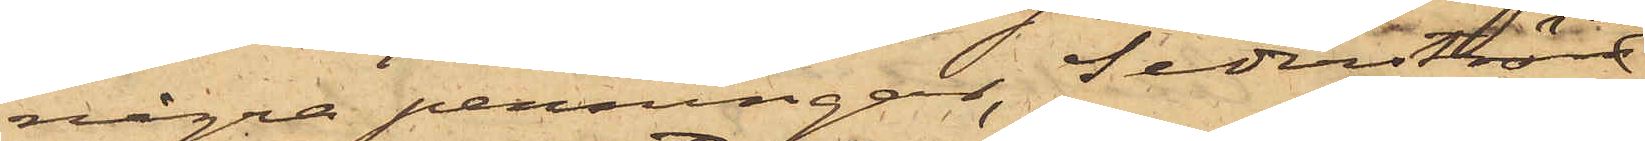några penningar, Sederström
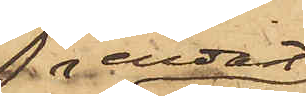endast
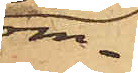om¬
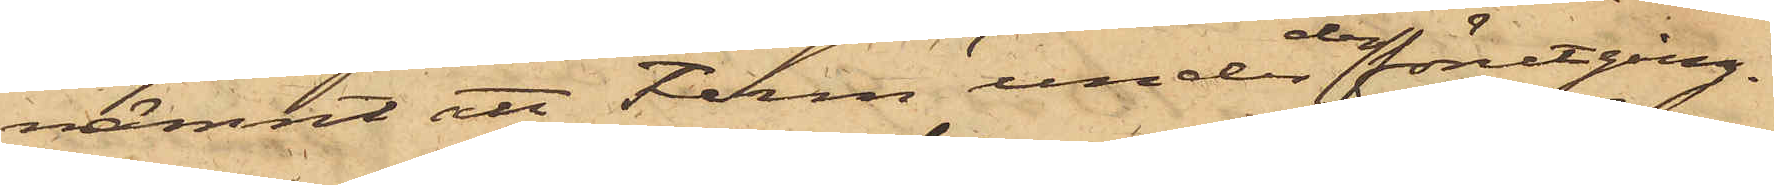nämnt att Ferm under den förutgång¬
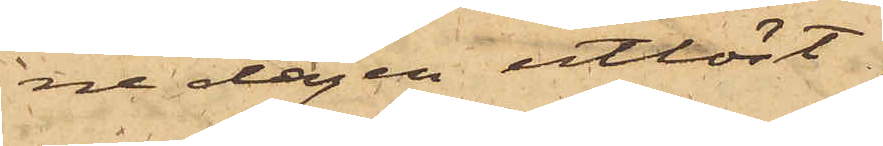ne dagen utlöst
